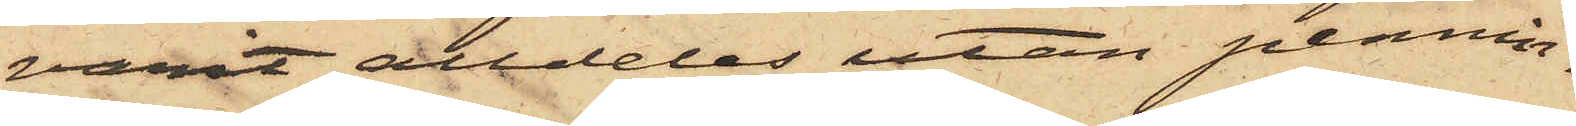varit alldeles utan pennin¬
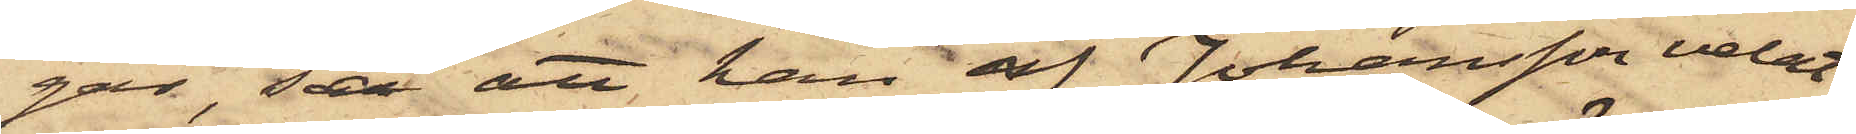gar, så att han af Johansson velat
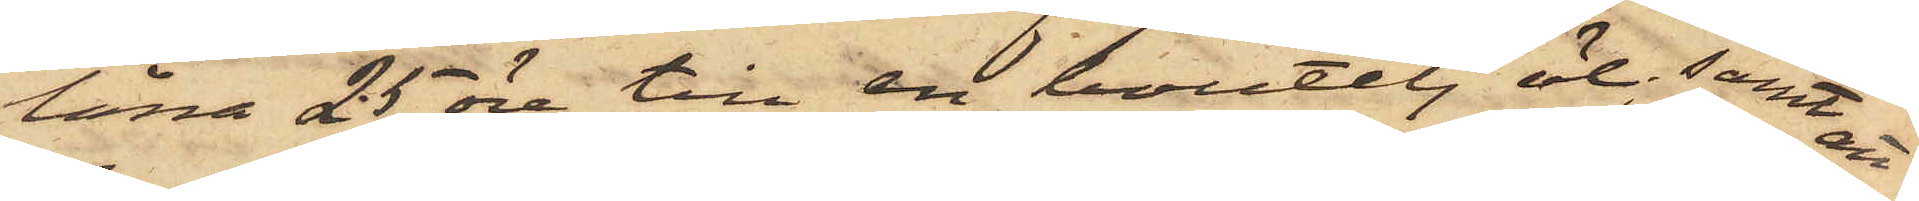låna 25 öre till en boutelj öl; samt att
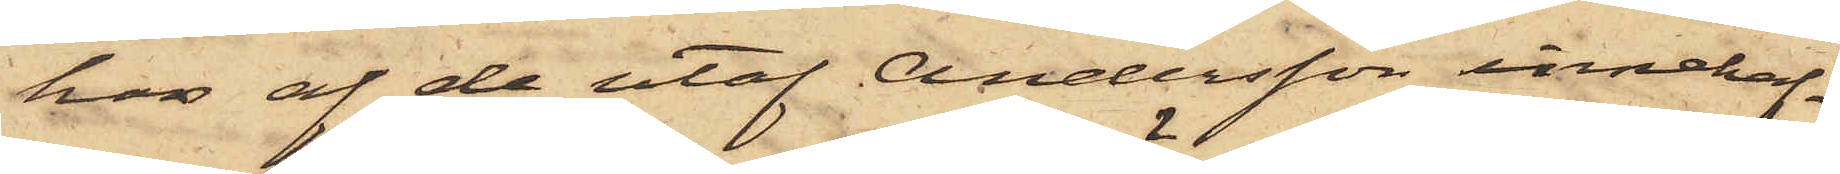hon af de utaf Andersson innehaf¬
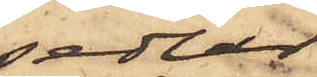sedlar
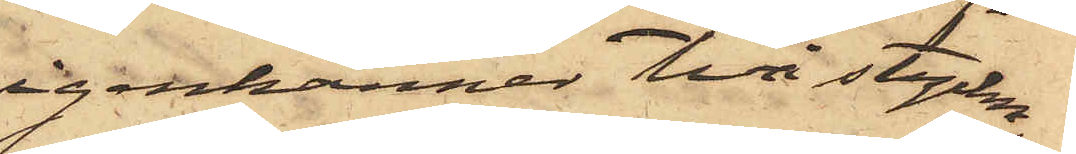igenkänner två stycken
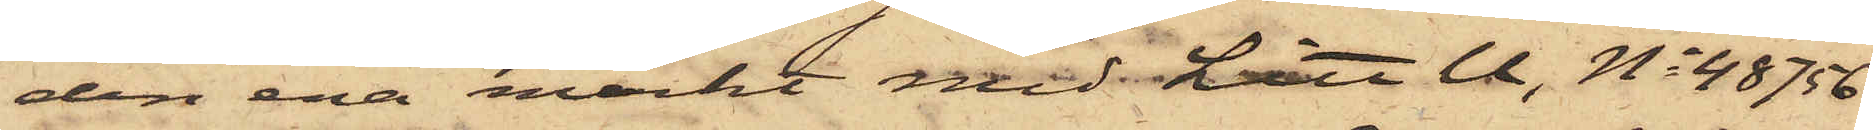den ena märkt med Litt U, No 48756
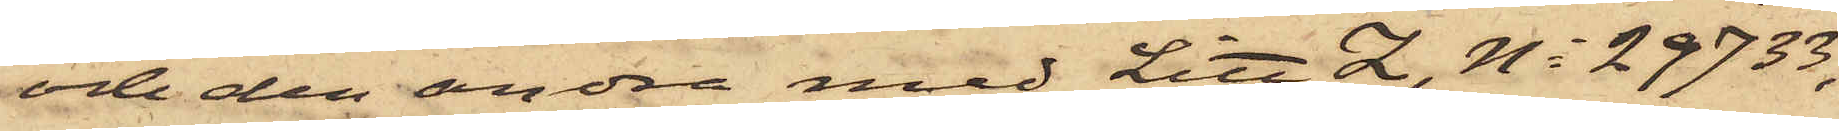och den andra med Litt Z, No 29733,
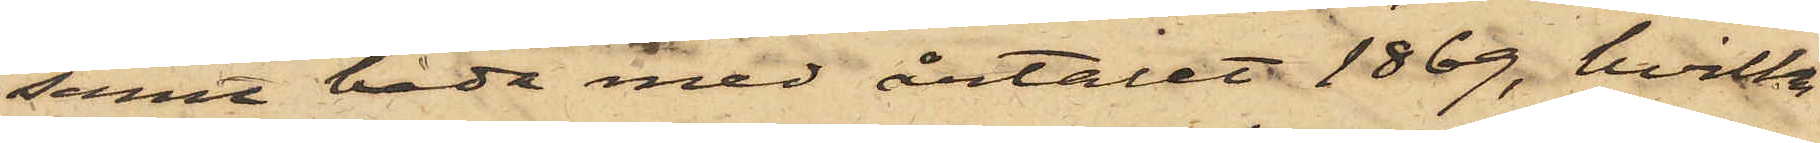samt båda med årtalet 1869, hvilka
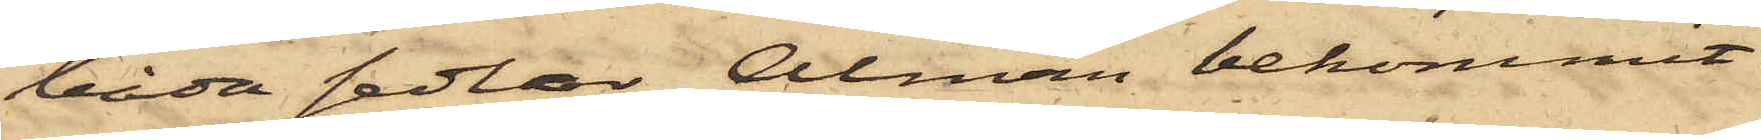båda sedlar Alman bekommit
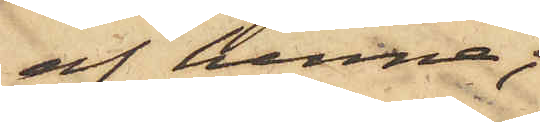af henne;
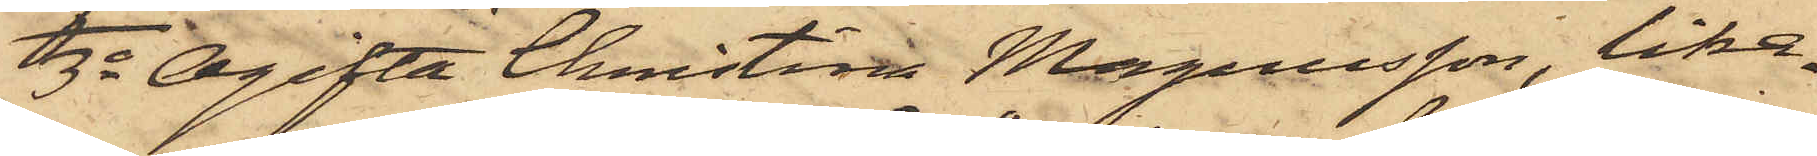3o Ogifta Christina Magnusson, lika¬
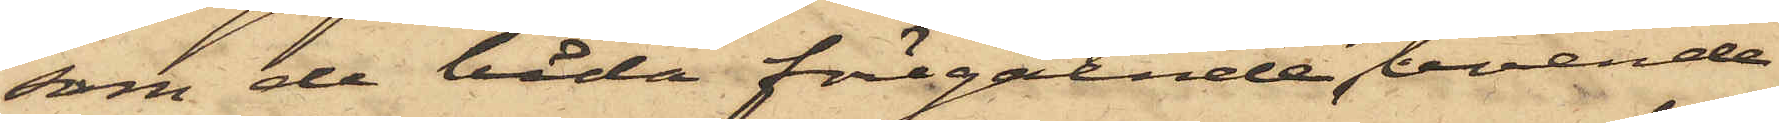som de båda föregående boende
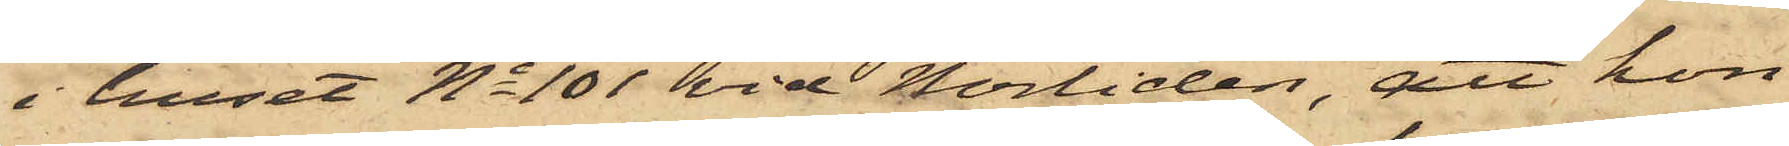i huset No 101 vid Norliden, att hon
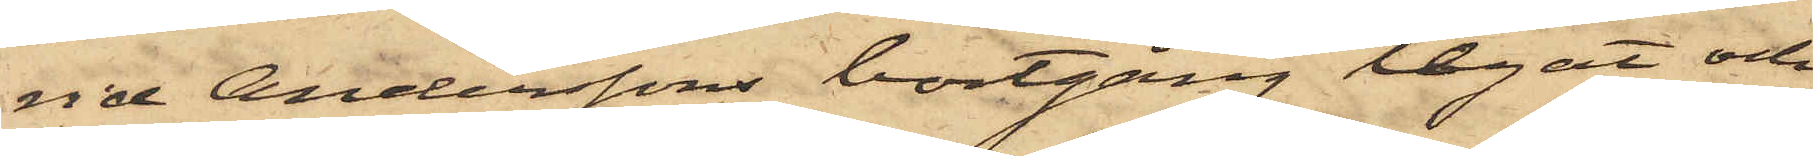vid Anderssons bortgång legat och
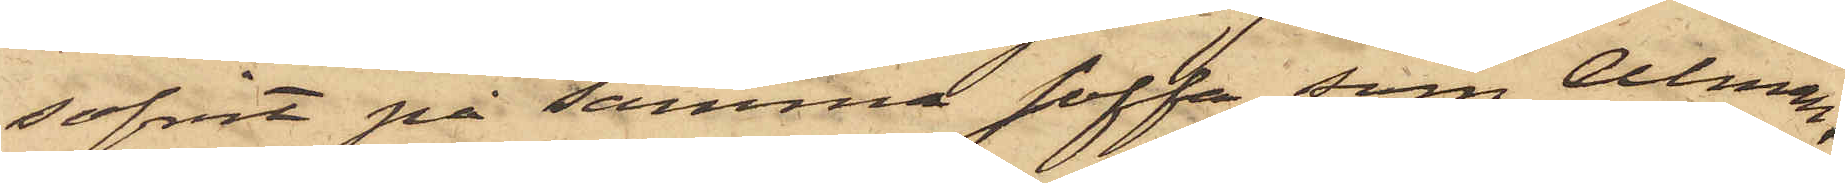sofvit på samma soffa som Alman;
